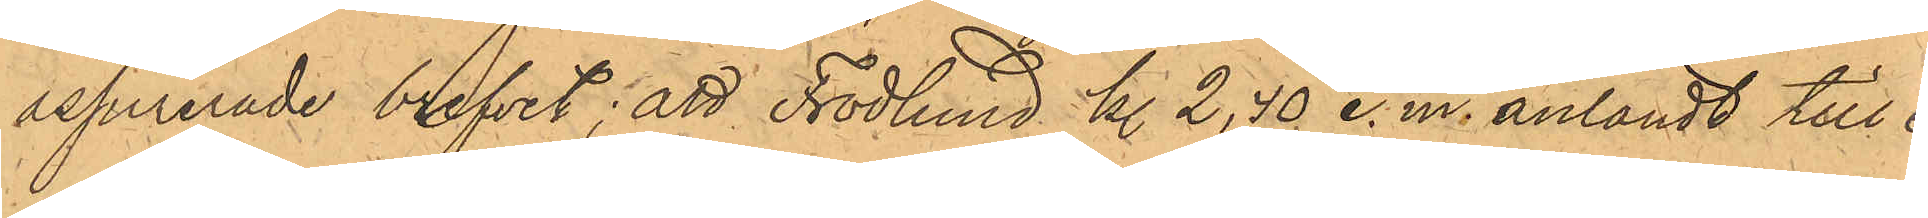assurerade brefvet; att Frodlund kl. 2,40 e.m. anländt till ex¬
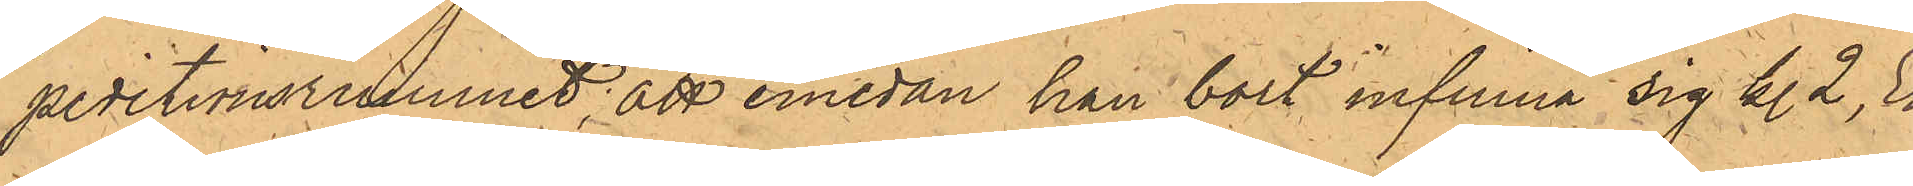peditionsrummet; att emedan han bort infinna sig kl. 2, Er¬
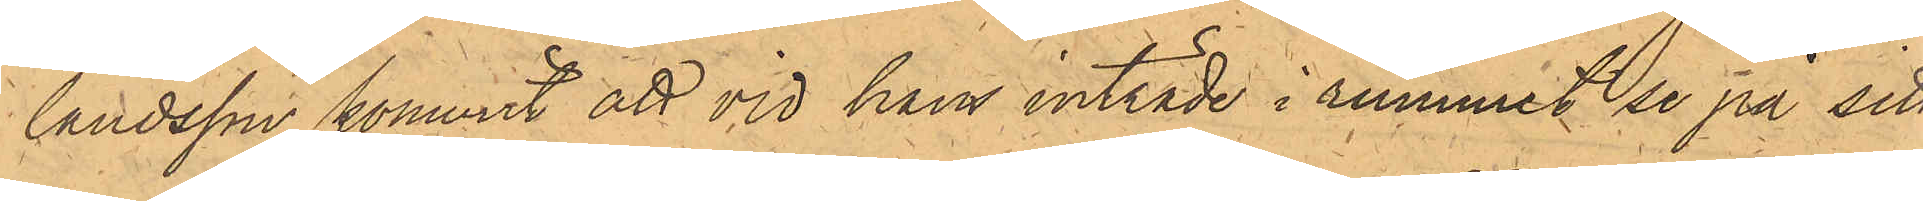landsson kommit att vid hans inträde i rummet se på sitt
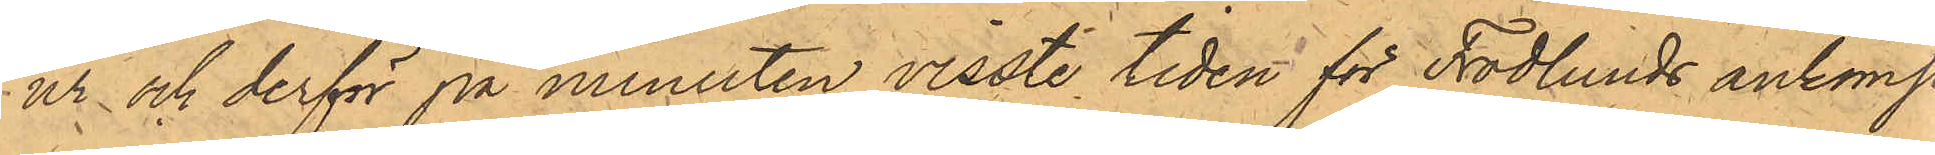ur och derför på minuten visste tiden för Frodlunds ankomst,
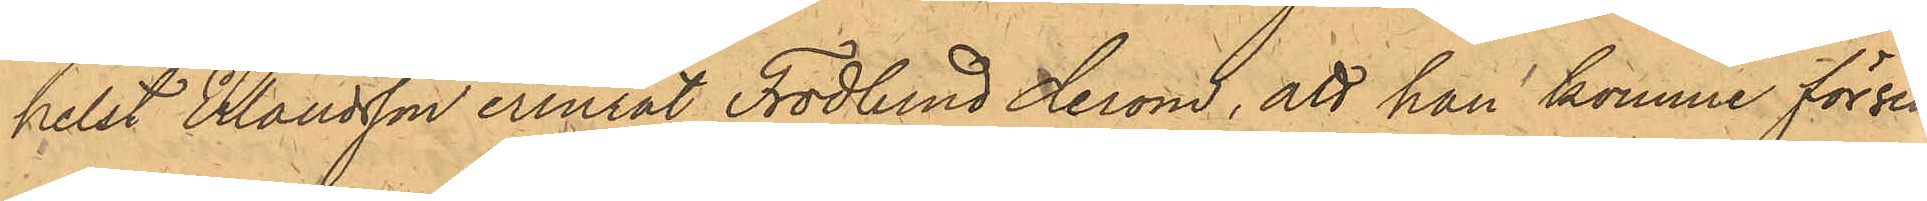helst Erlandsson erinrat Frodlund derom, att han komme försent
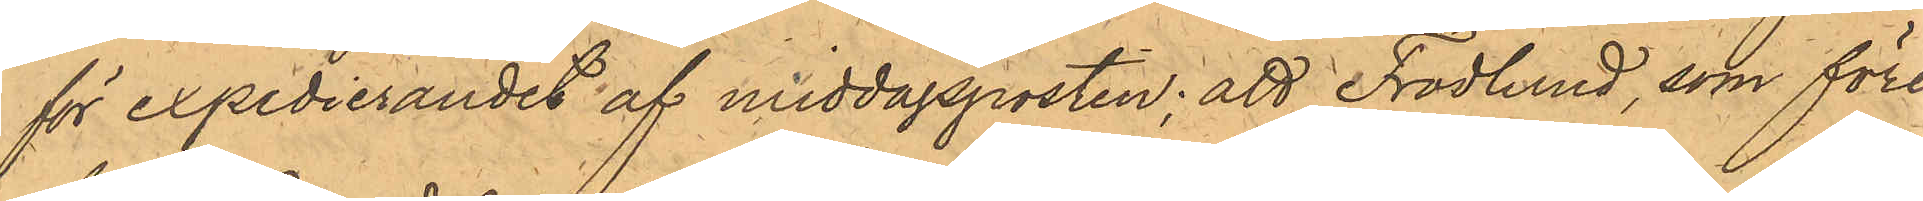för expedierandet af middagsposten; att Frodlund, som före¬
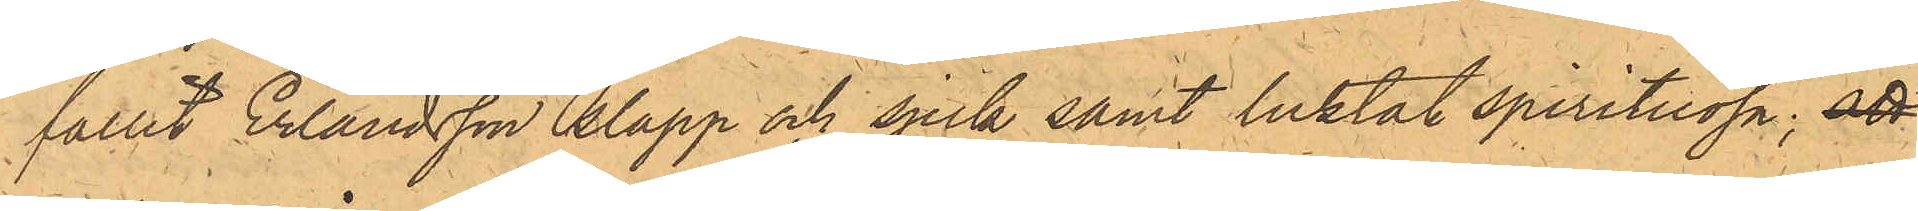fallit Erlandsson slapp och sjuk samt luktat spirituosa; att
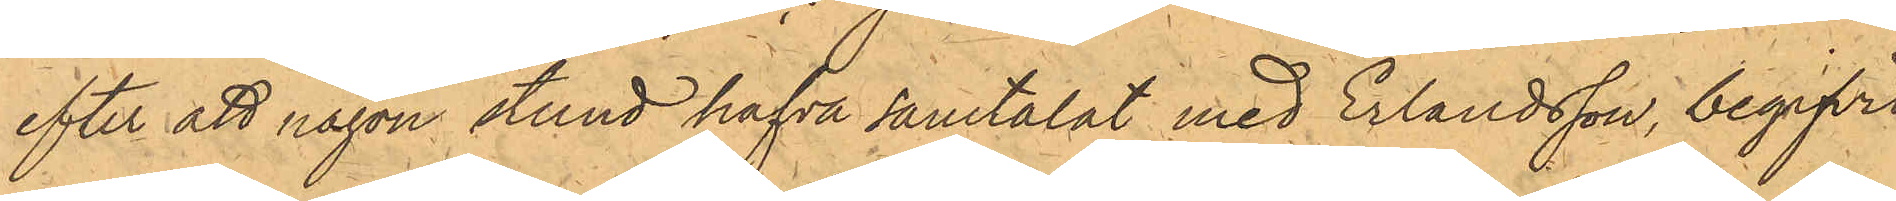efter att någon stund hafva samtalat med Erlandsson, begifvit
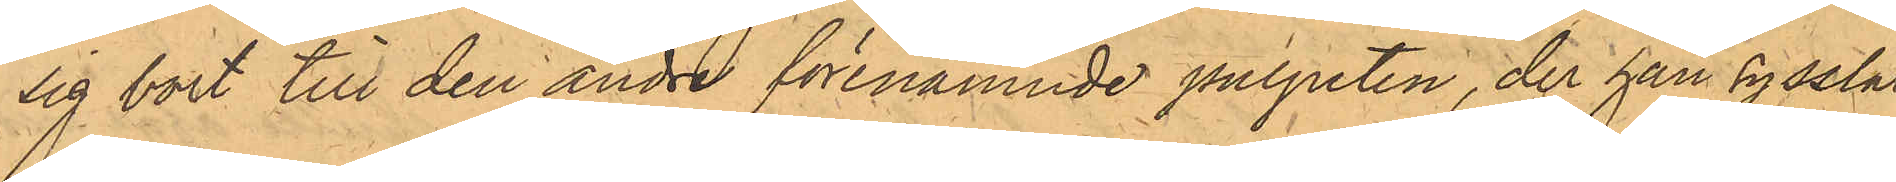sig bort till den andre förenämnde pulpeten, der han sysslat
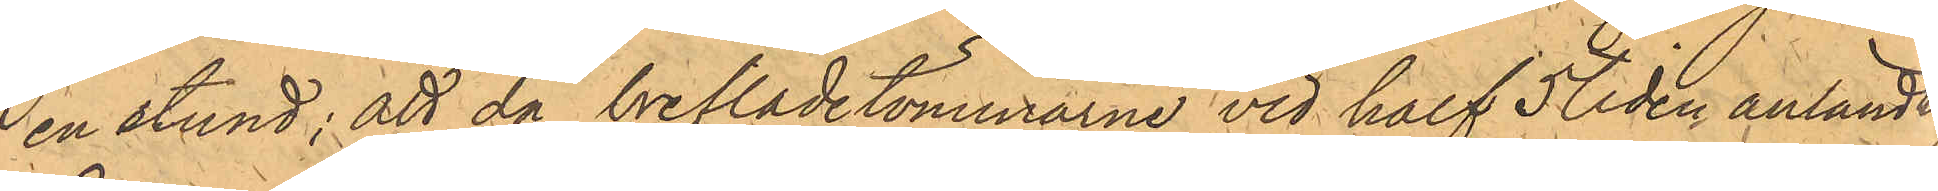en stund; att då breflådetömmarne vid half 5 tiden anländt;
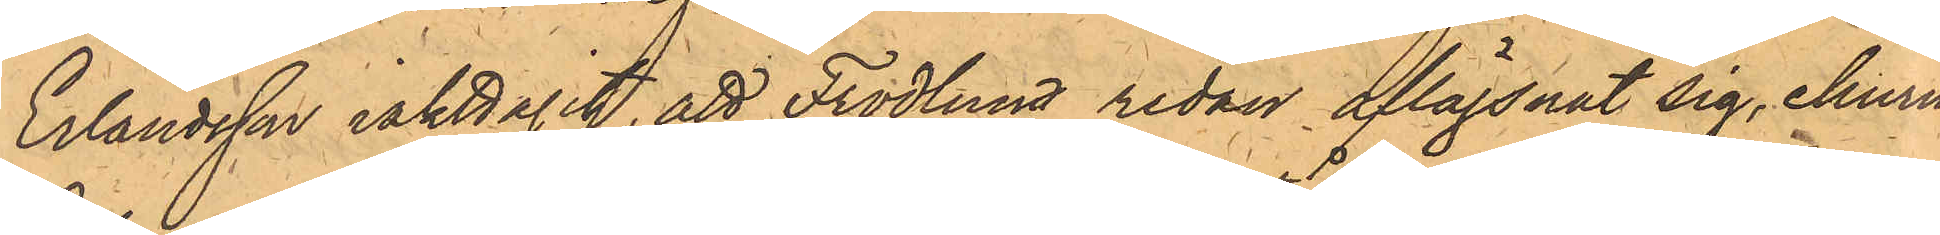Erlandsson iakttagit, att Frodlund redan aflägsnat sig, ehuru
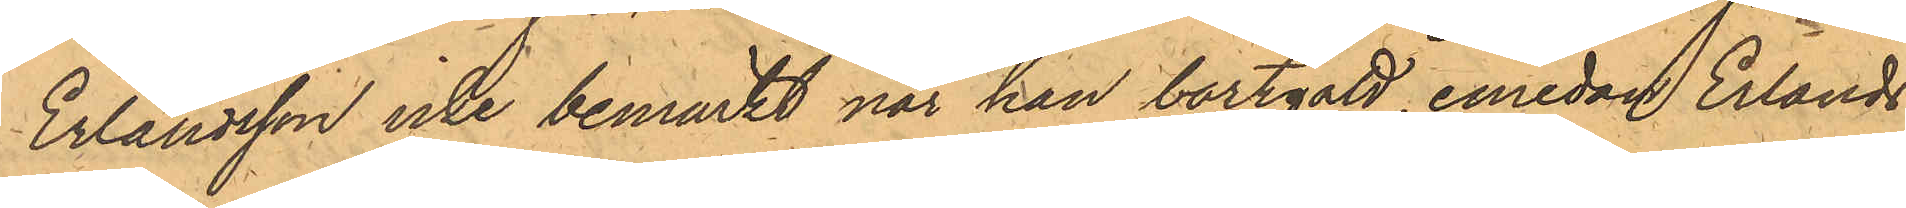Erlandsson icke bemärkt när han bortgått, emedan Erlands¬
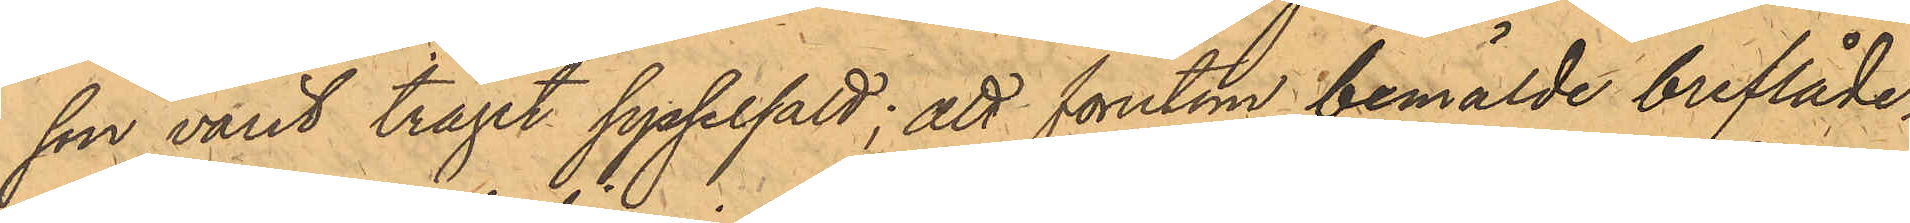son varit träget sysselsatt; att förutom bemälde breflåde¬
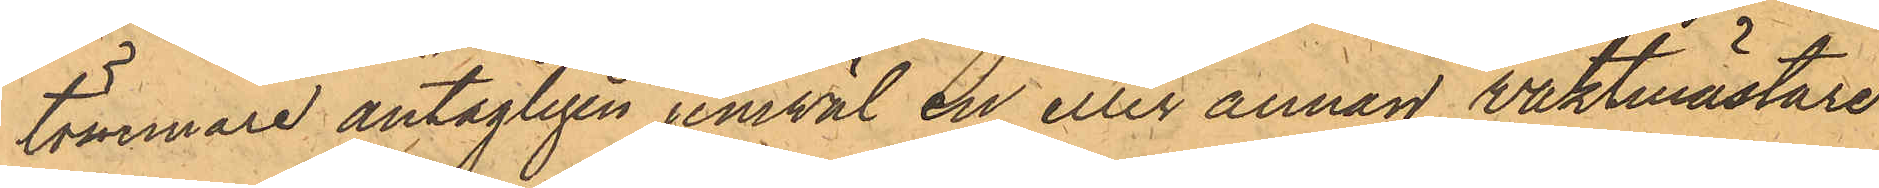tömmare antagligen jemväl en eller annan vaktmästare
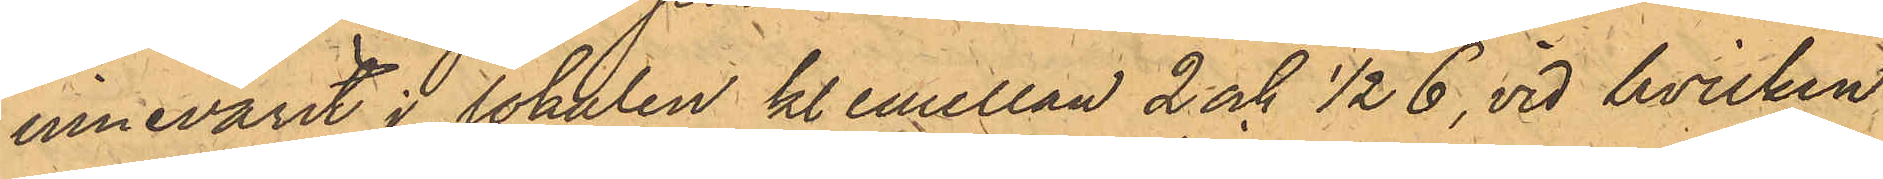innevarit i lokalen kl. emellan 2 och 1/2 6, vid hvilken
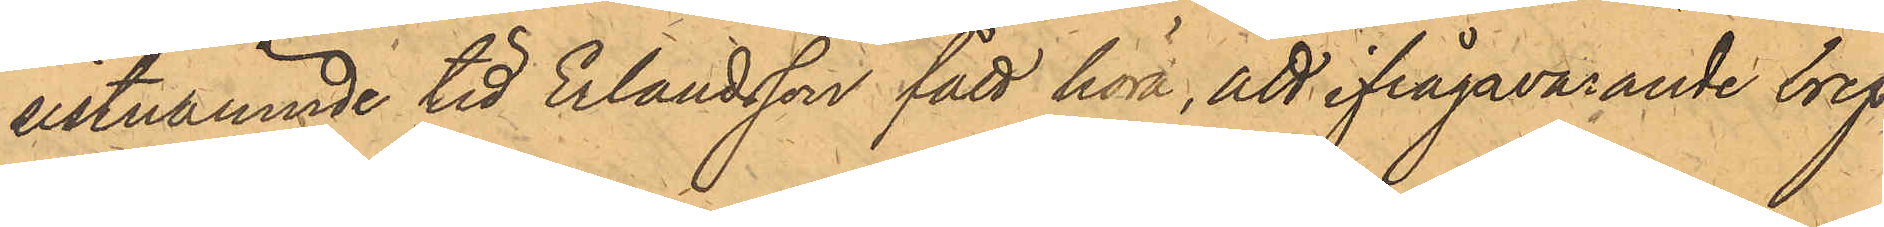sistnämnde tid Erlandsson fått höra, att ifrågavarande bref
